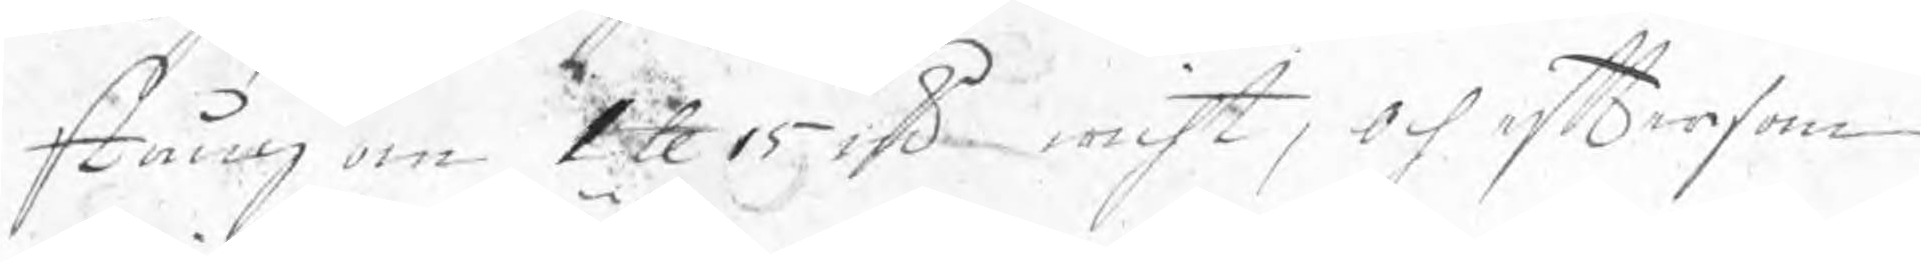stång om 1 ℔ 15 sd wicht, och eftersom
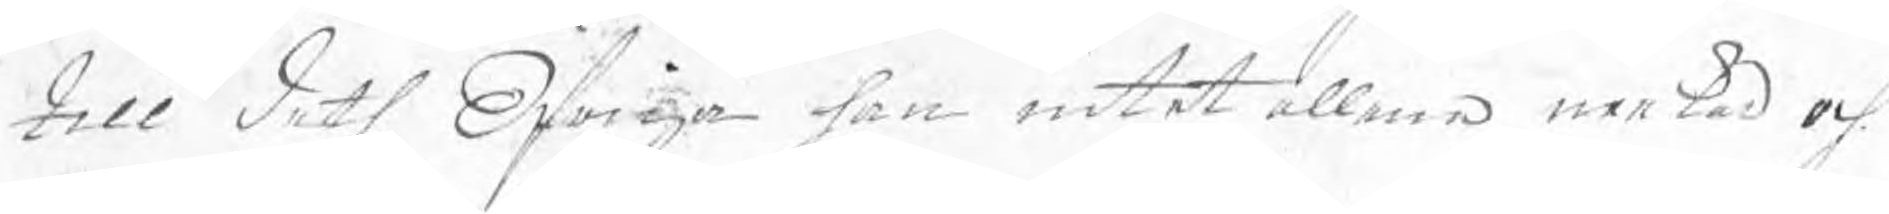till deth Öfriga han intet allena neekad och
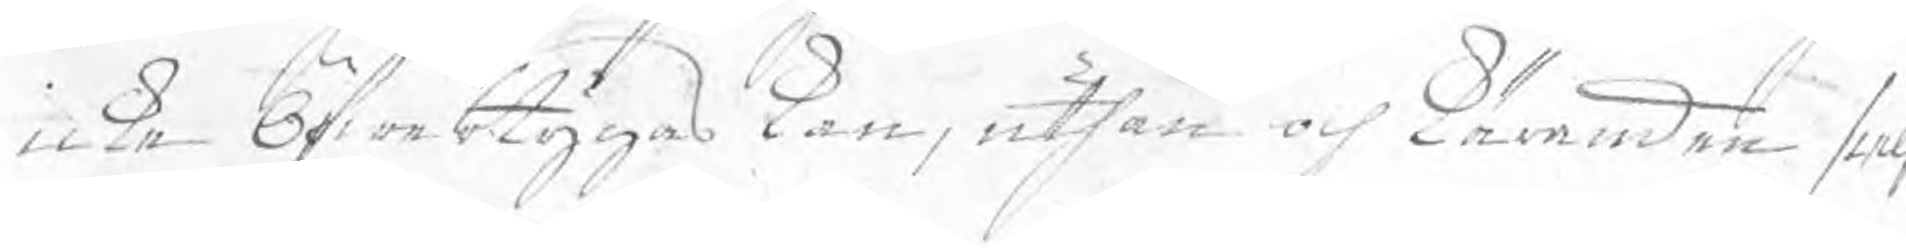icke Öfwertygas kan, uthan och käranden sielf
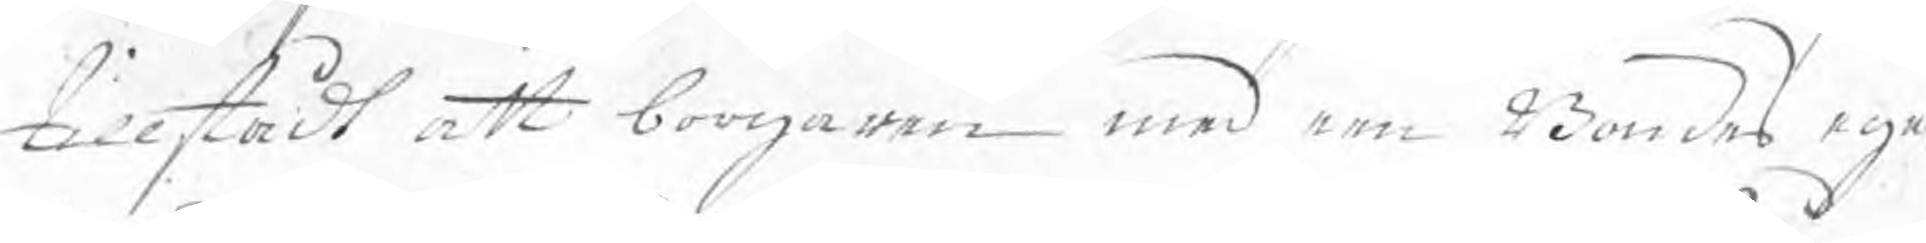tillstådt att borgaren med een Bondes egne
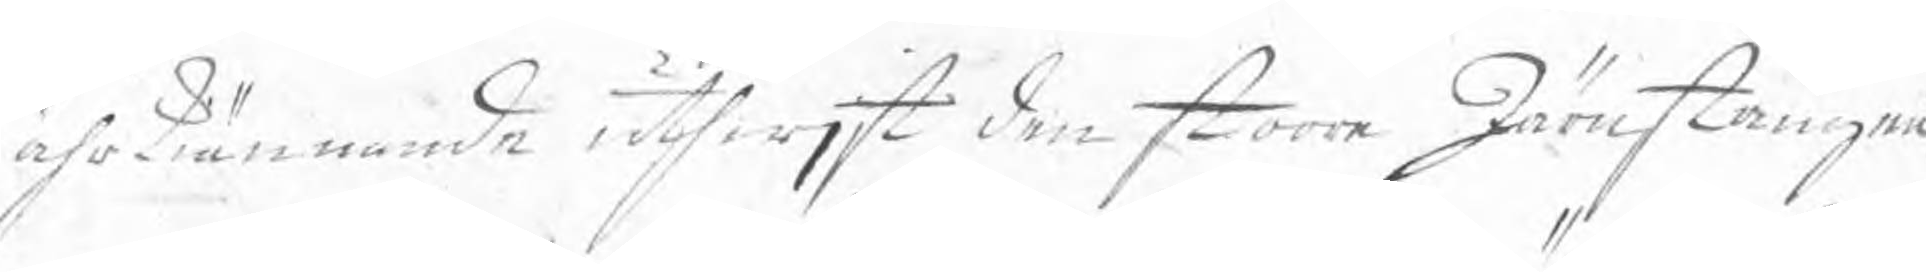ährkiännande uthwjst den stoora Järnstången
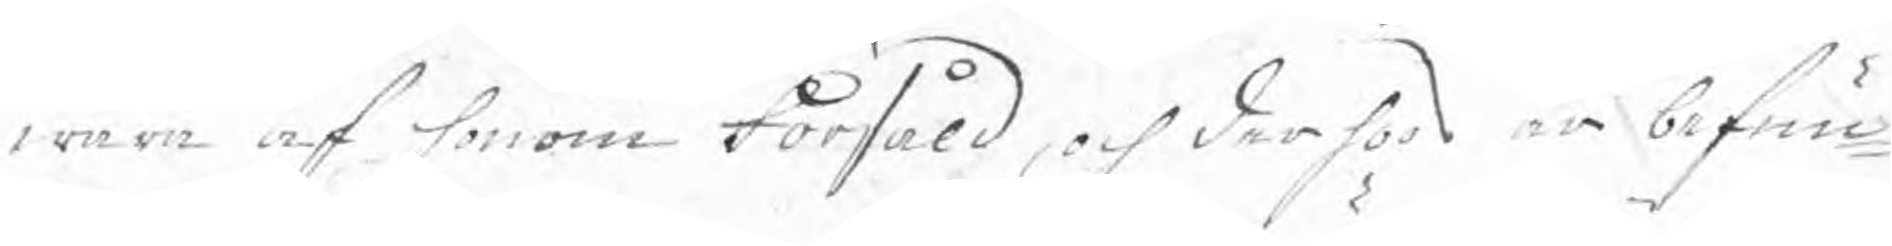wara af honom Försåld, och derför är befun¬
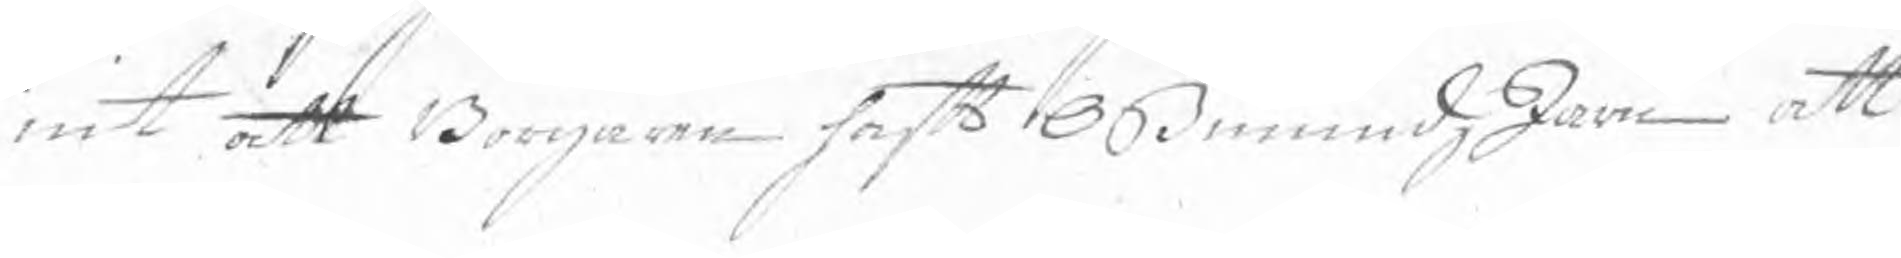nit att Borgaren haft OßmundzJärn att
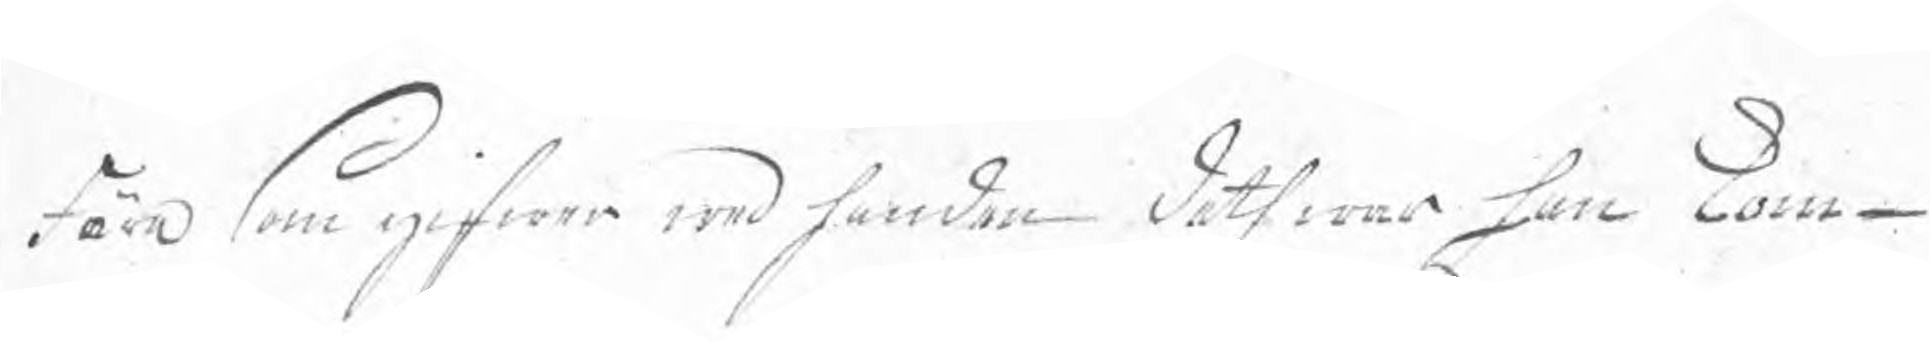Föra som gifwer wed handen deth war han kom¬
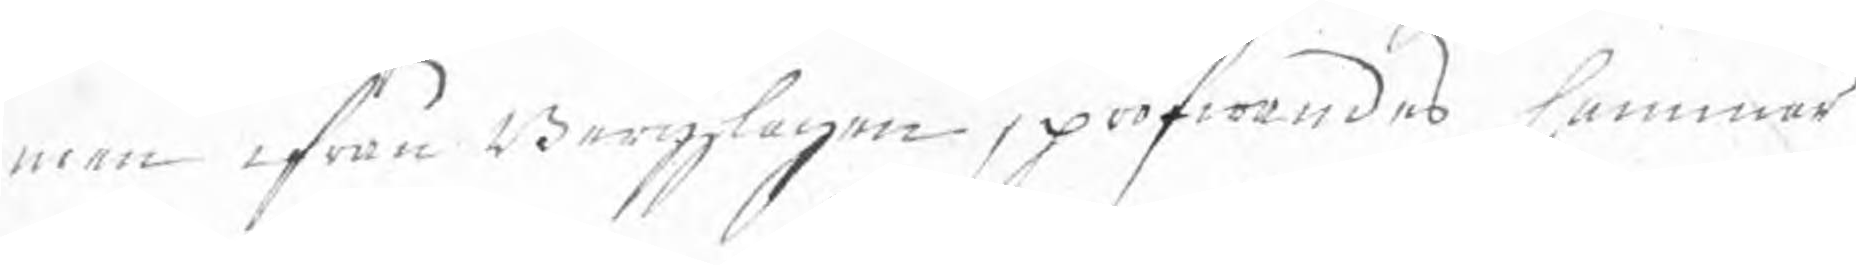men ifrån Bergzlagen, pröfwandes hammar
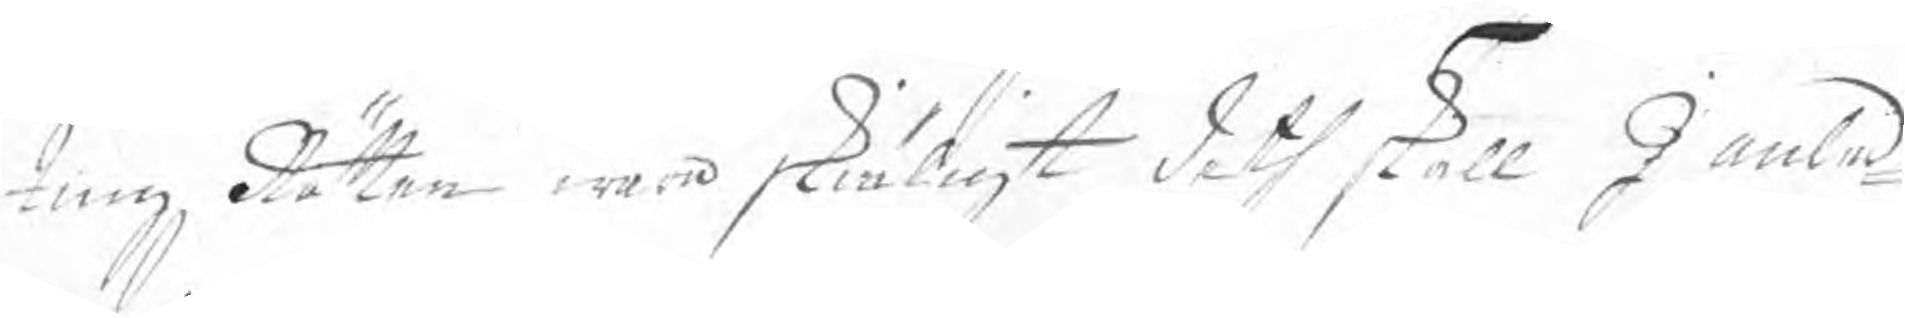tingzRätten wara skiäligt deth skall I anled¬
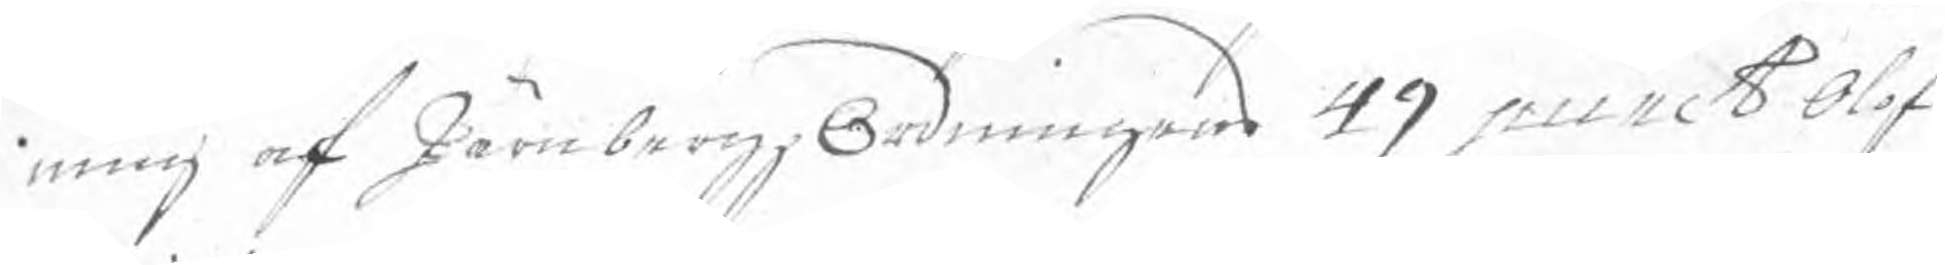ning af JärnbergzOrdningens 49 punct Olof
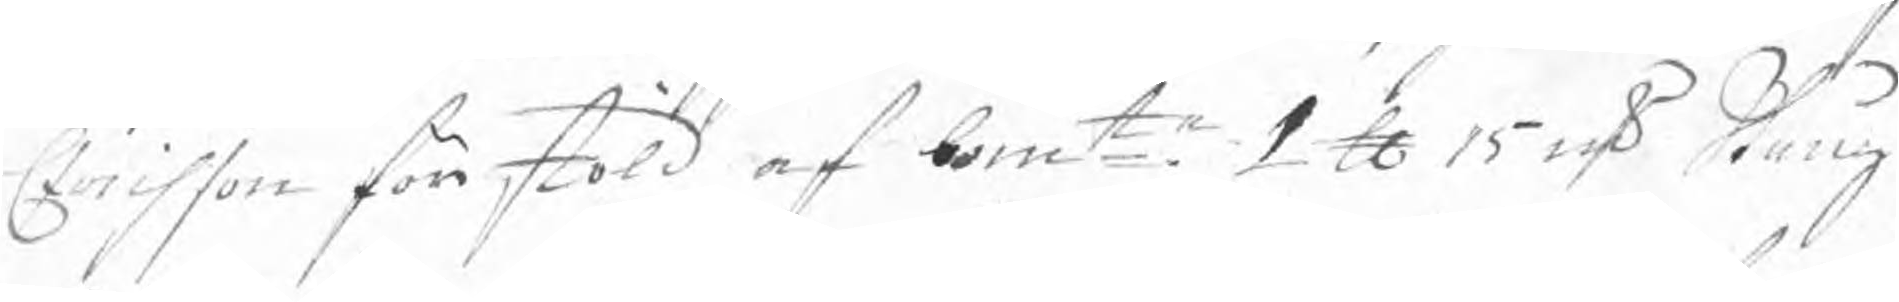Erichson för stöld af bemte 1 ℔ 15 sk Stång¬
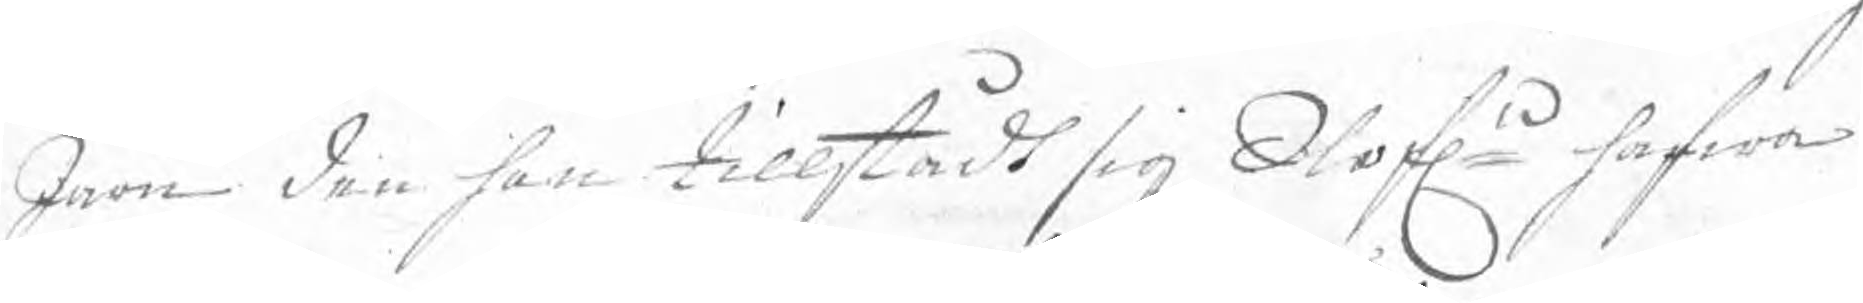Järn den han tillstådt sig Olofln hafwa
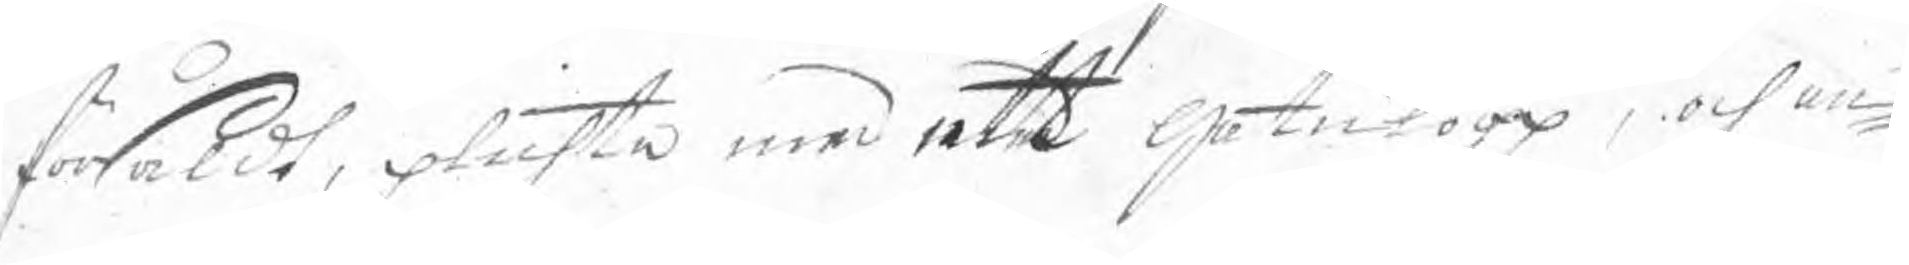försåldt, plichta med ett gatulopp, och an¬
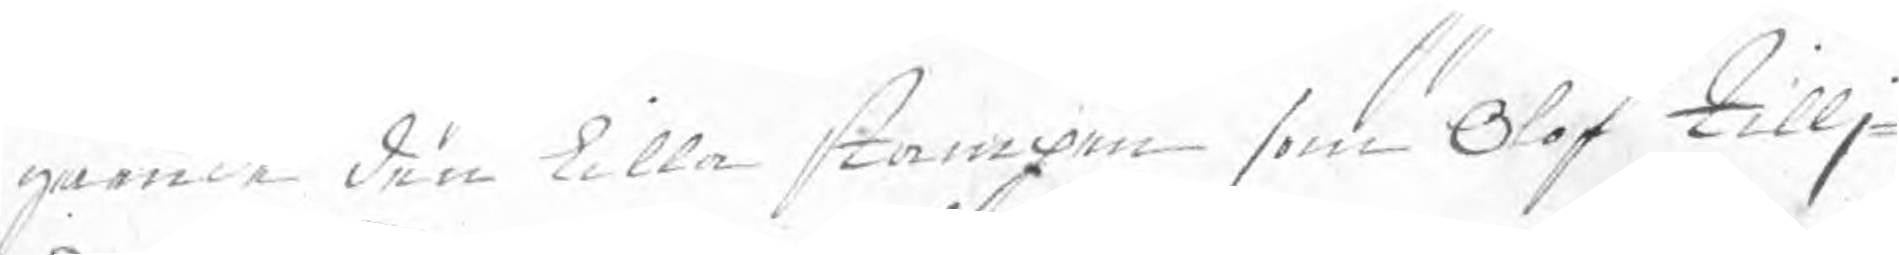gående den lilla stampen som Olof tillj¬
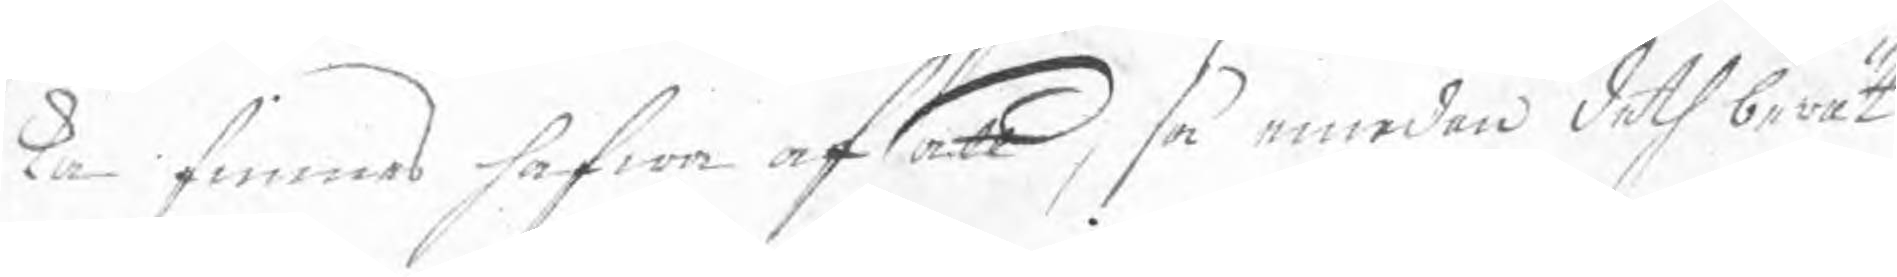ka finnes hafwa afsatt, så emedan deth berät
